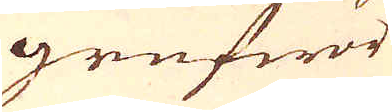grufwor
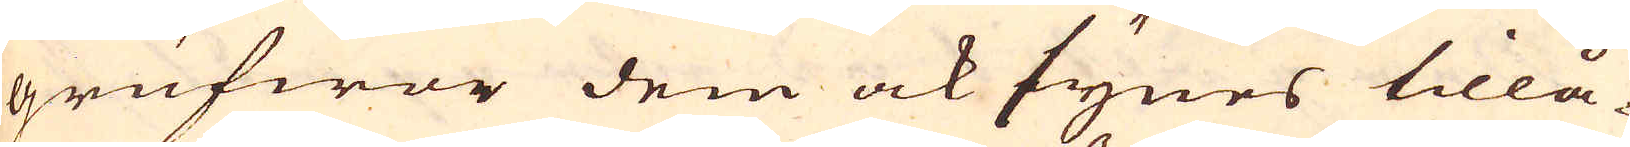grufwor dem ock synes tillå-
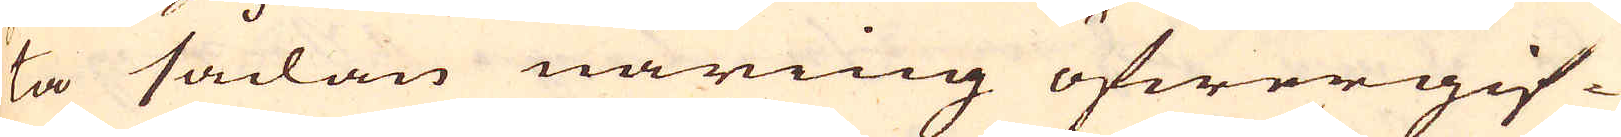ta sådan näring öfwergif-
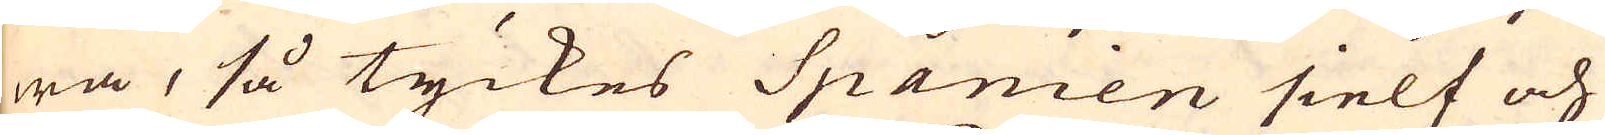wa, så tyckes Spanien sielf och
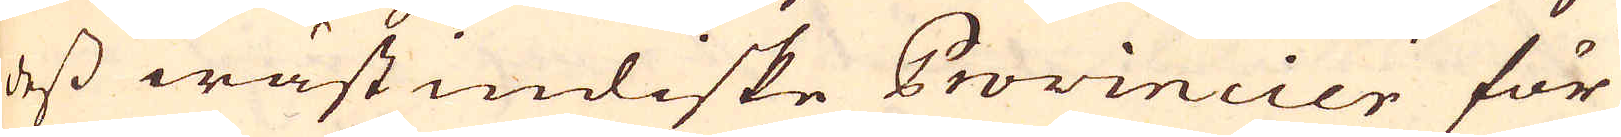dess wästindiske Provincier för
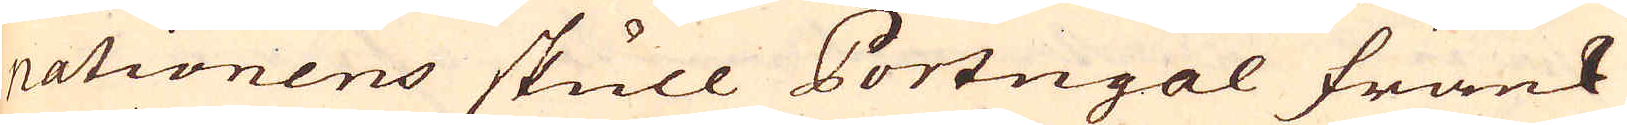nationens skull Portugal Frank-
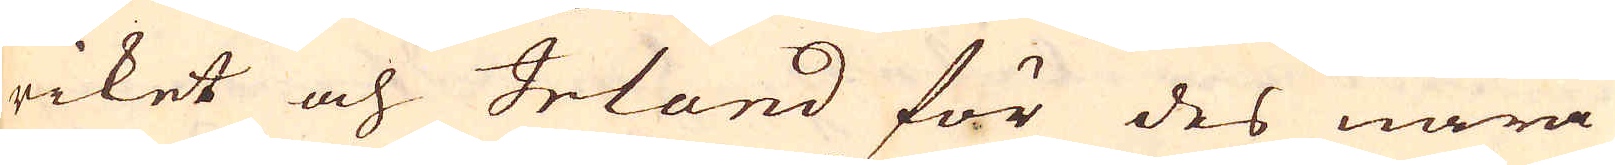riket och Irland för des nära
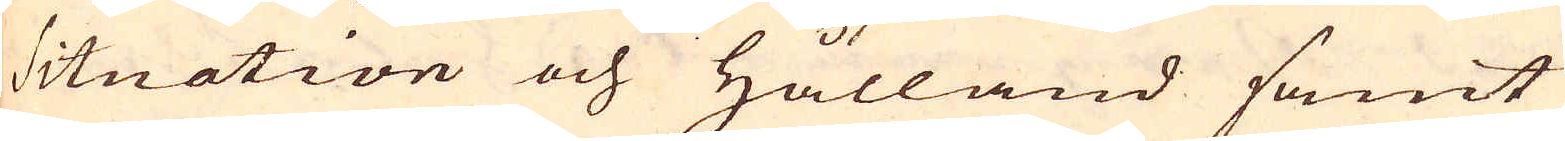situation och Hålland samt
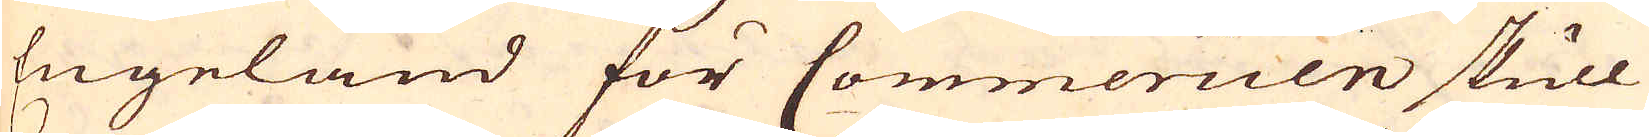Engeland för Commercien skull
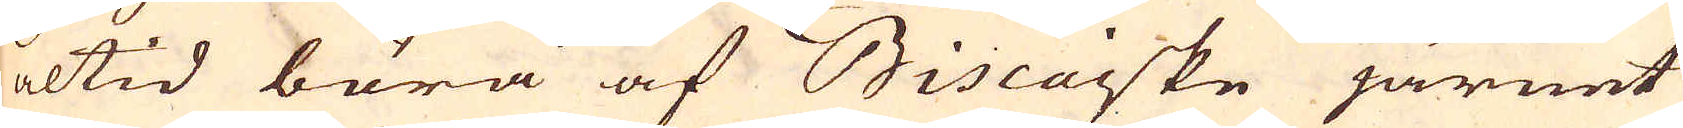altid böra af Biscaiske järnet
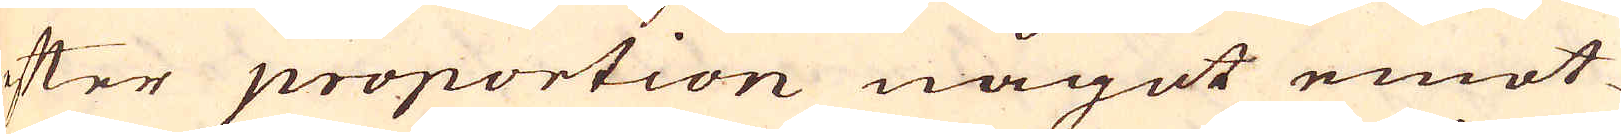efter proportion något emot-
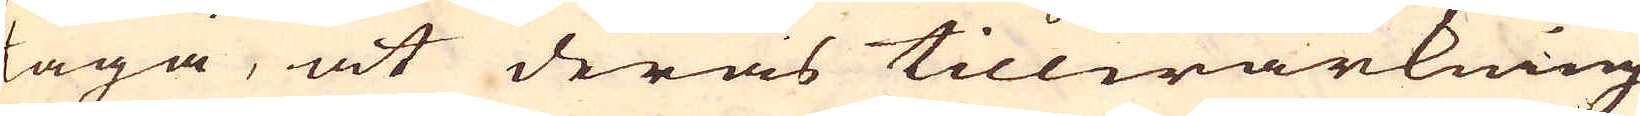taga, at deras tillwärkning
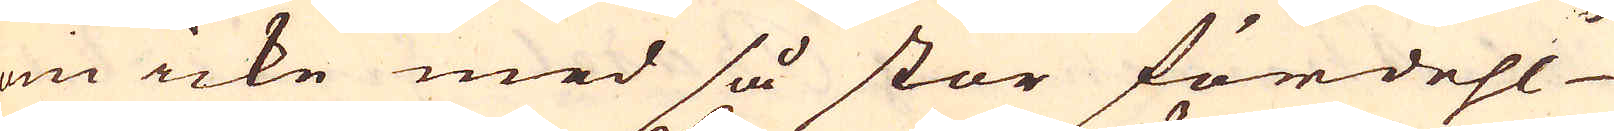om icke med så stor fördehl
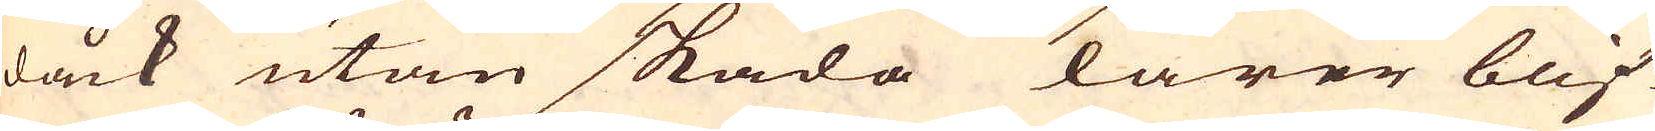dåck utan skada lärer blif-
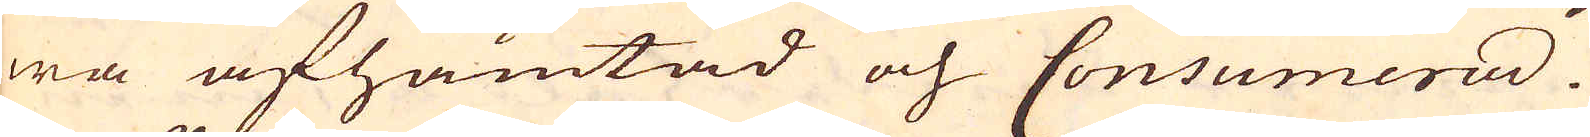wa afhämtad och Consumerad.
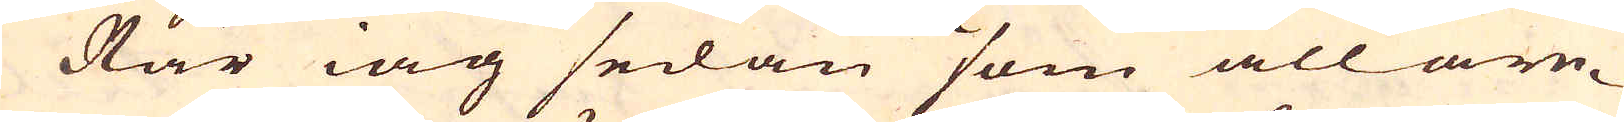När iag sedan som allare-
